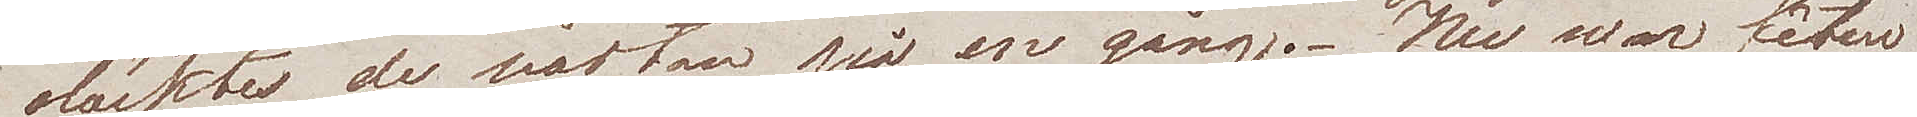släcktes de nästan på en gång. Nu war fêten
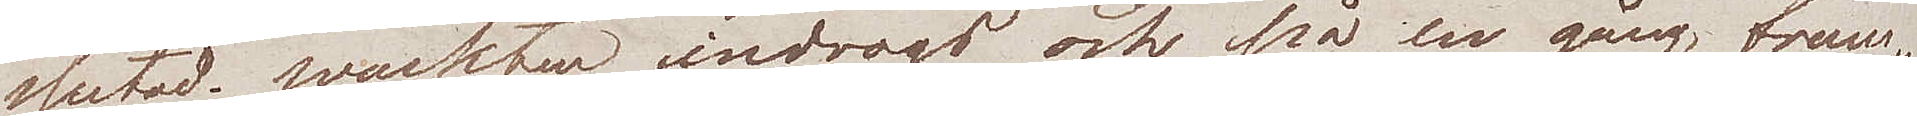slutad. Wakten indrogo och på en gång fram¬
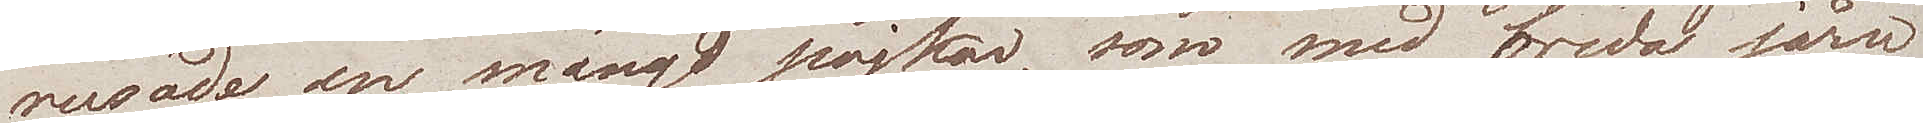rusade en mängd pojkar, som med breda järn
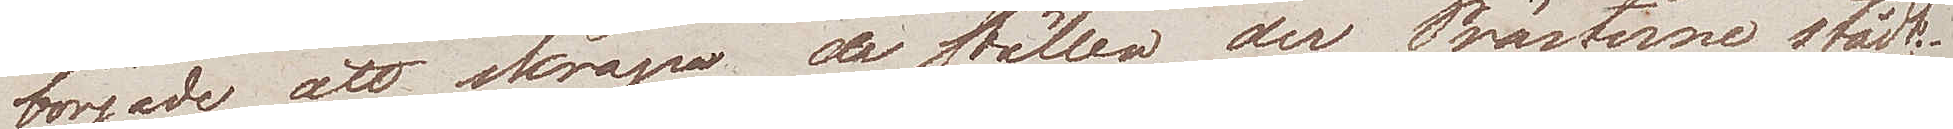började att skrapa av ställen der Prästerne stått.
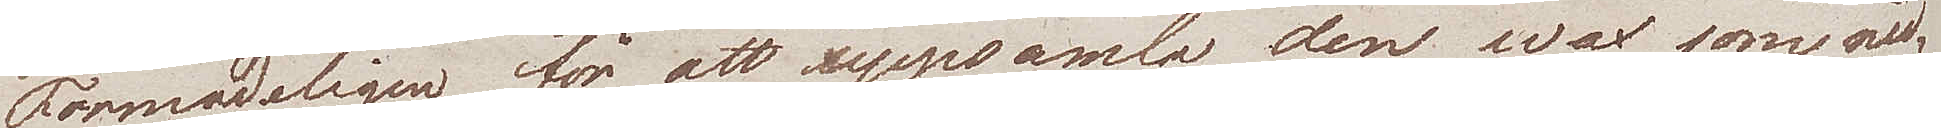Förmodligen för att uppsamla den wax som ned¬
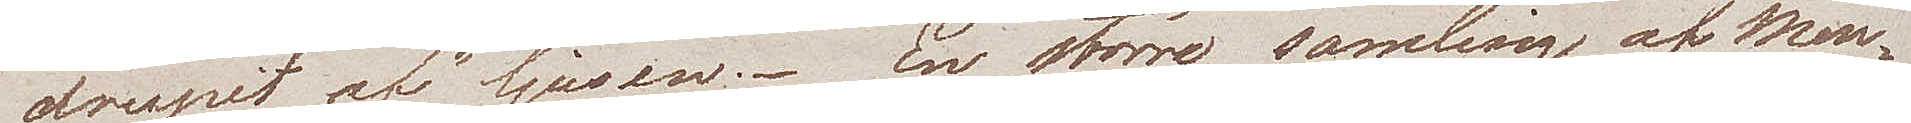drupit af ljusen. En större samling av men¬
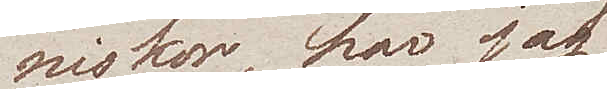niskor, har jag
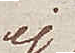ej
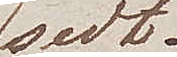sedt.
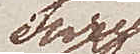Flere
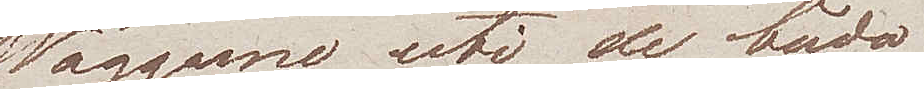Väggarne uti de båda
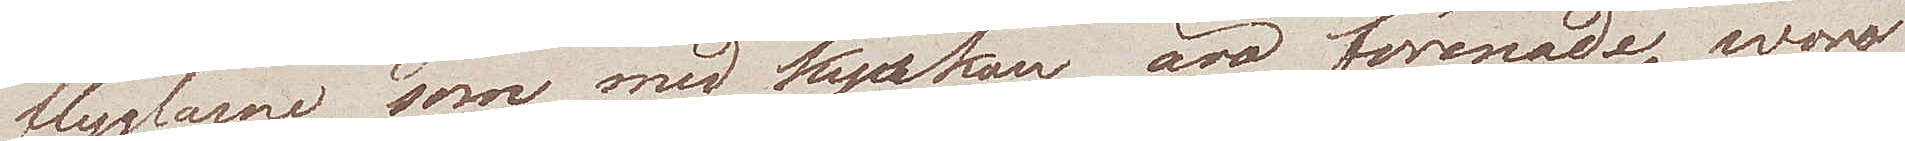flyglarne som med kyrkan äro förenade, woro
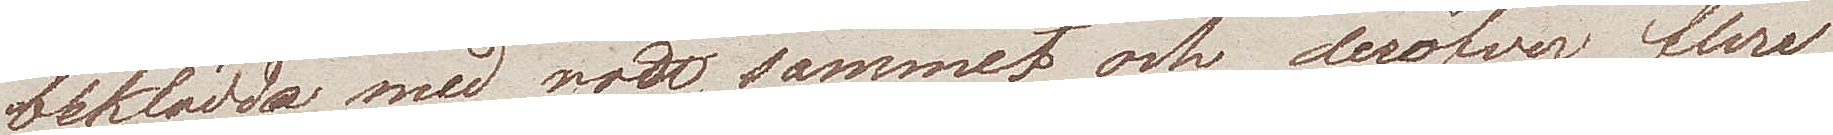beklädda med rött sammet, och deröfver flere
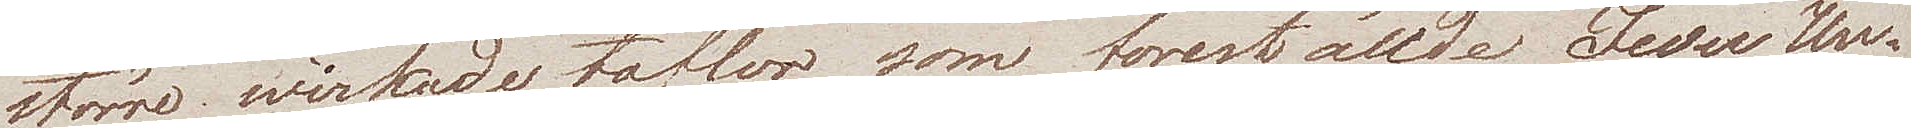större wirkade taflor som föreställde Jesu Un¬
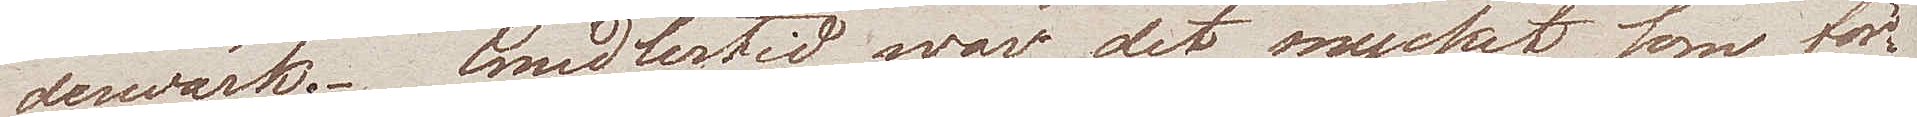derwärk. Emedlertid war det mycket som för¬
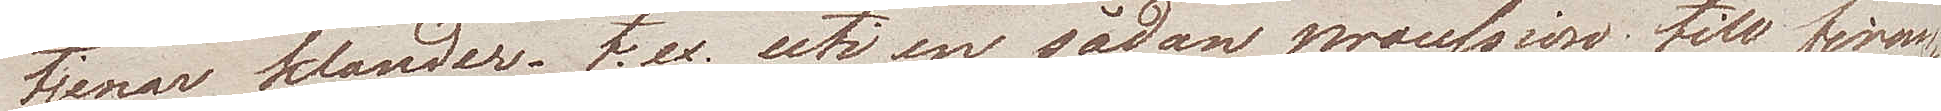tjenar klander, t. ex. uti en sådan procession till firan¬
